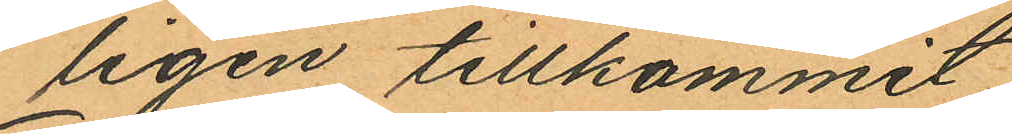ligen tillkommit.
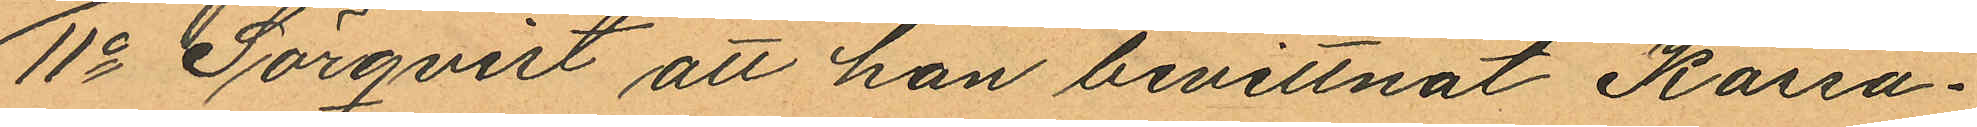11o Sörqvist att han bevittnat Kassa¬
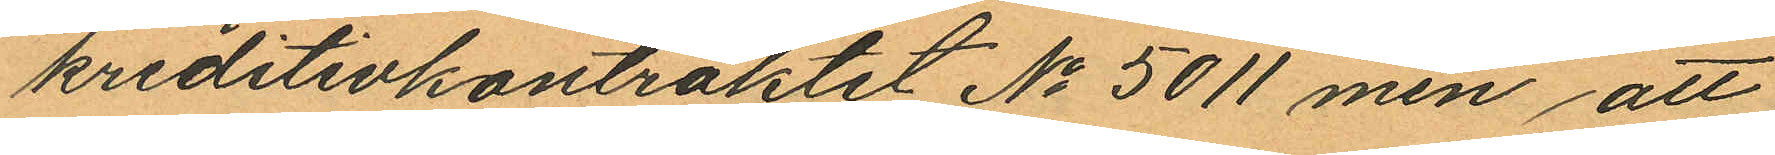kreditivkontraktet No 5011 men att
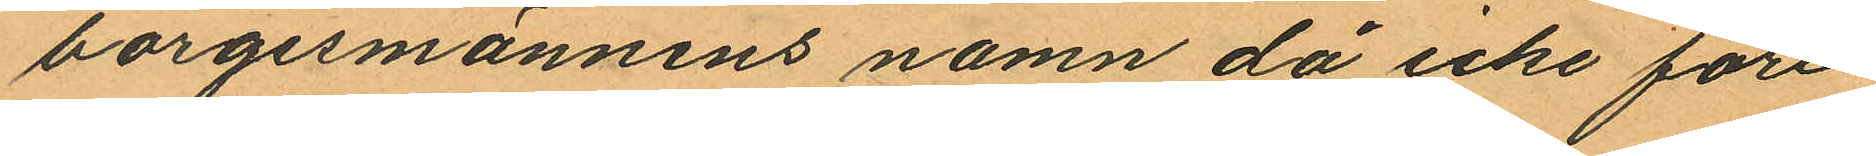borgesmännens namn då icke före¬
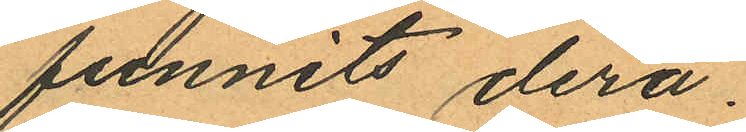funnits derå.
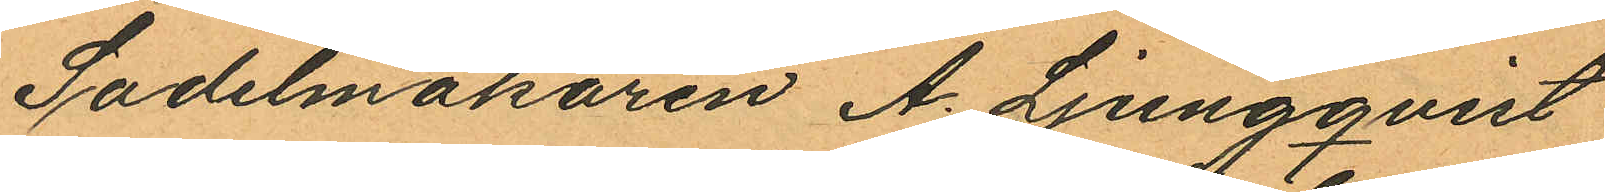Sadelmakaren A. Ljungqvist
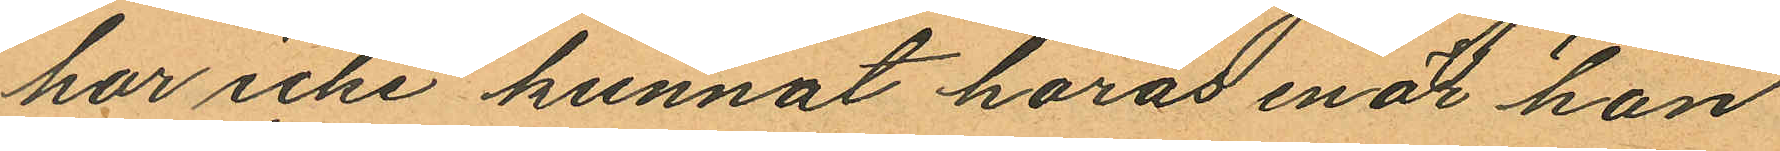har icke kunnat höras enär han
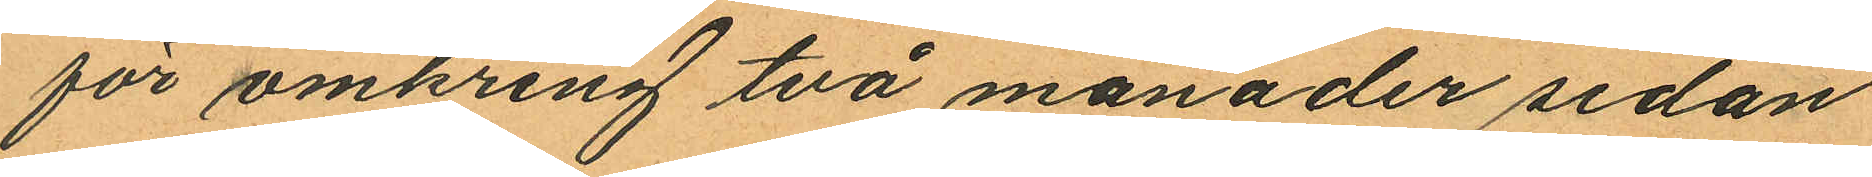för omkring två månader sedan
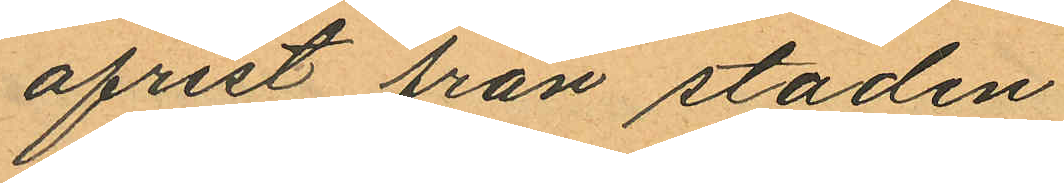afrest från staden
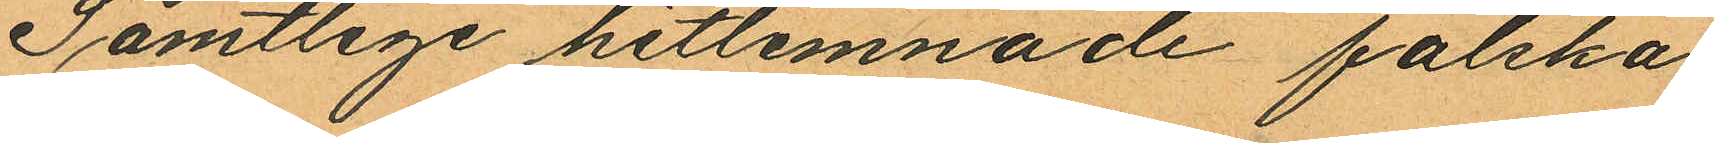Samtlige hitlemnade falska
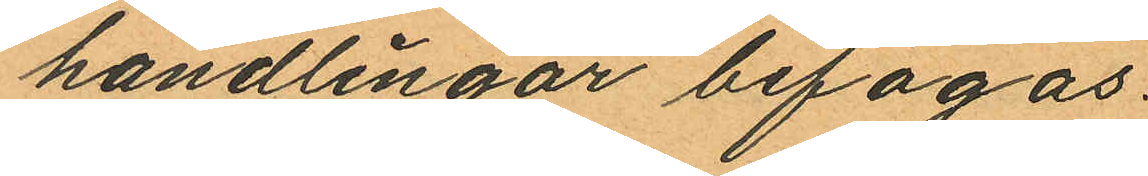handlingar bifogas.
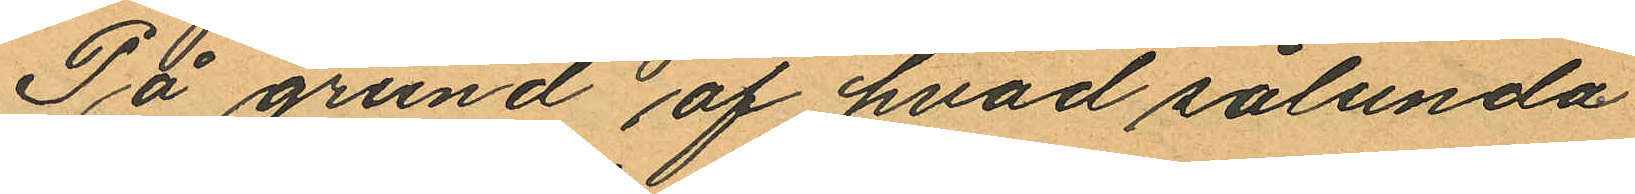På grund af hvad sålunda
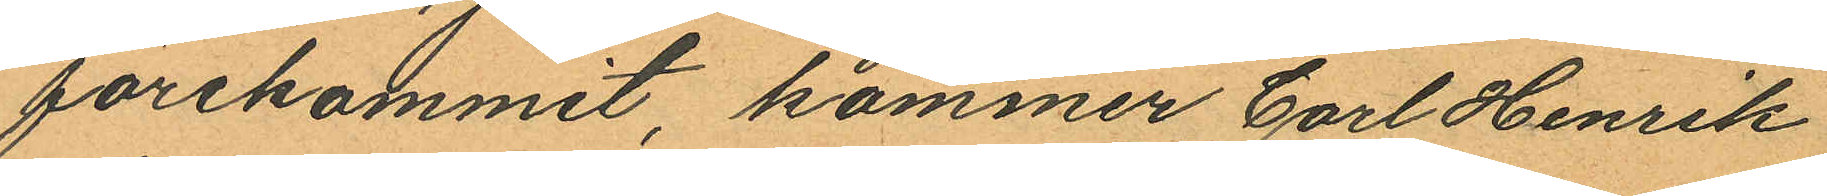förekommit, kommer Carl Henrik
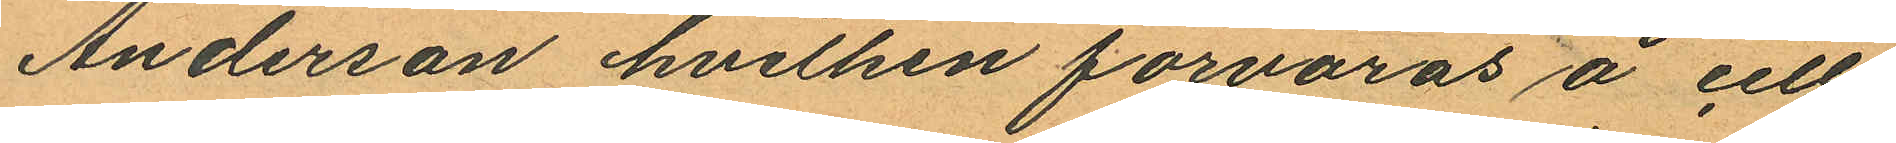Anderson hvilken förvaras å cell¬
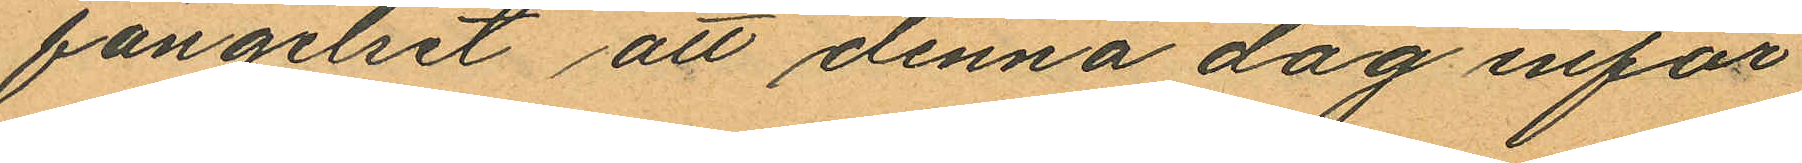fängelset att denna dag inför
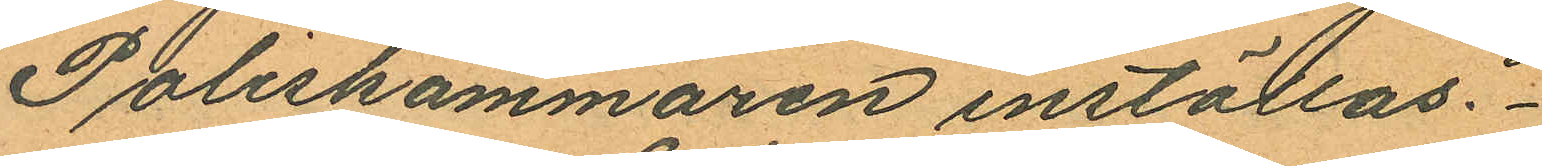Poliskammaren inställas.
